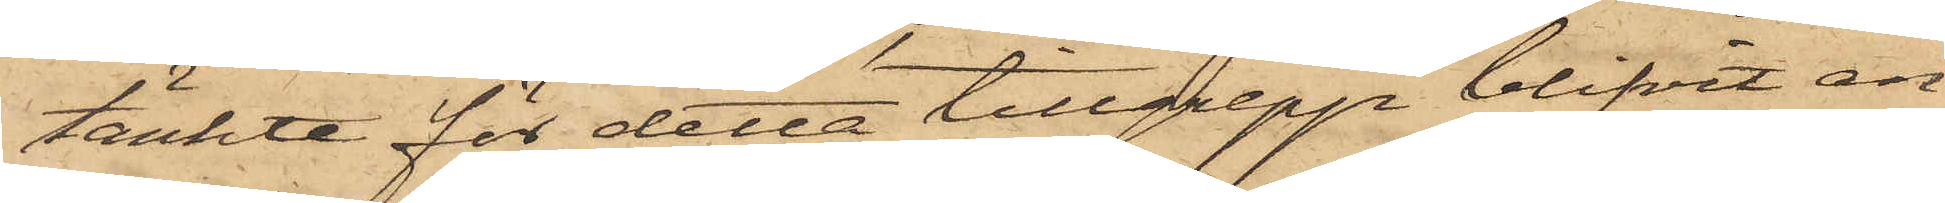tänkte för detta tillgrepp blifvit an¬
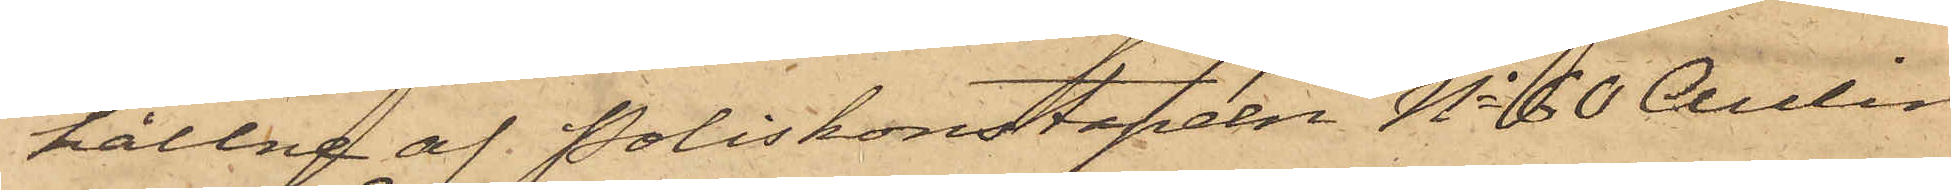hållne af Poliskonstapeln No 60 Aulin
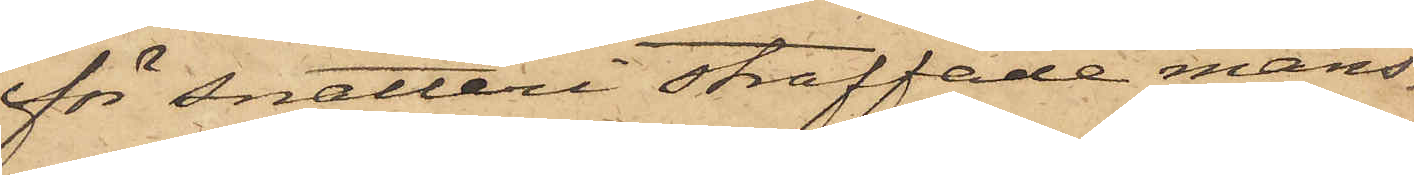för snatteri straffade mans¬
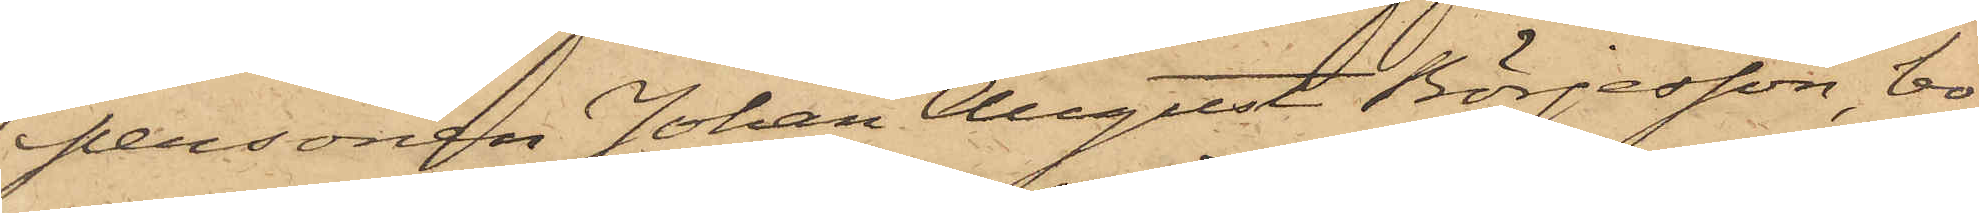personen Johan August Börjesson, bo¬
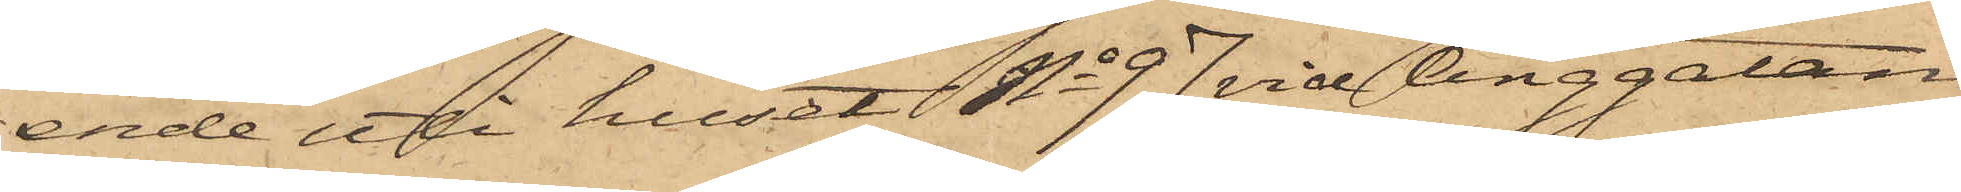ende uti huset No 97 vid Änggatan
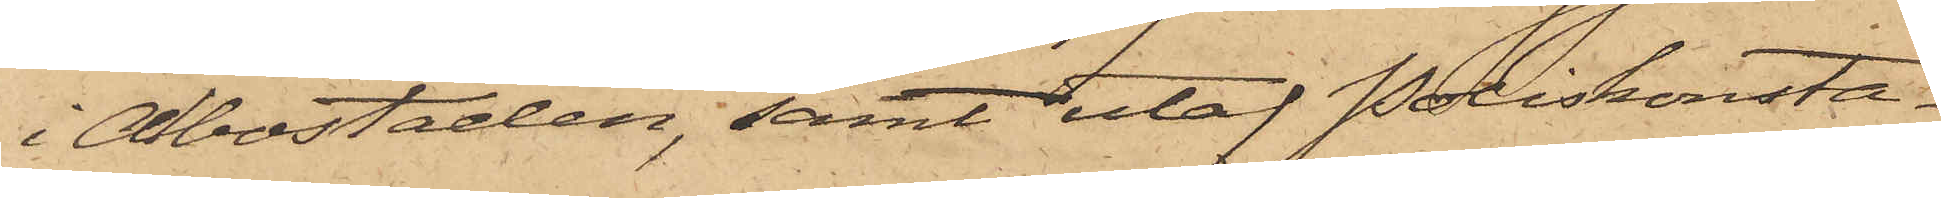i Albostaden, samt utaf Poliskonsta¬
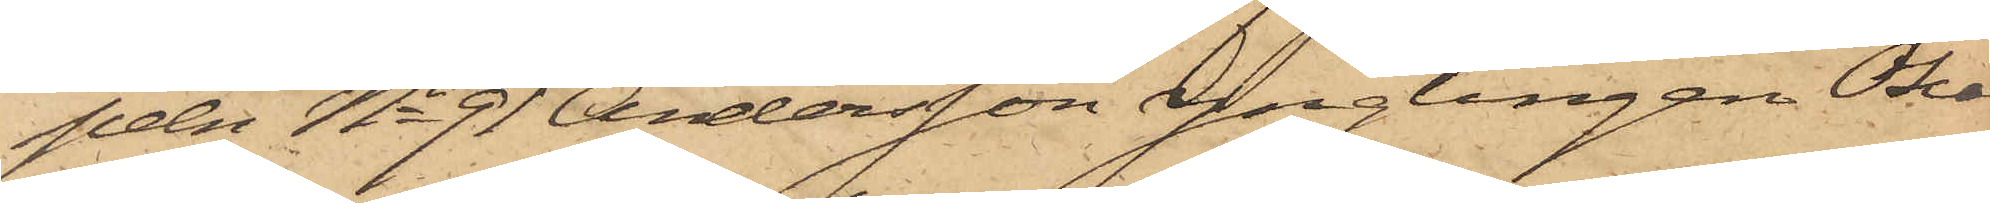pen No 91 Andersson, Ynglingen Oscar
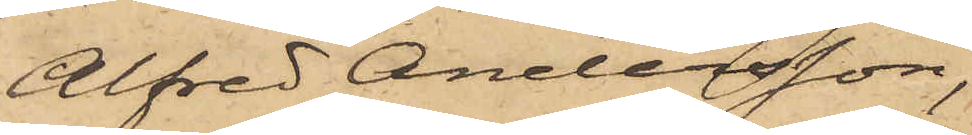Alfred Andersson,
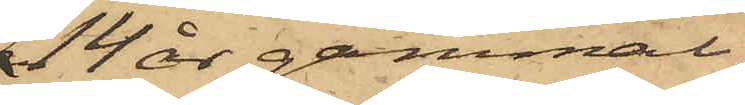14 år gammal,
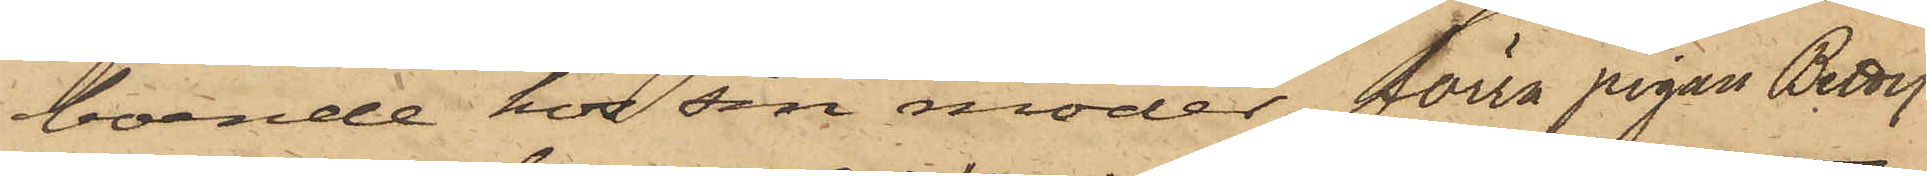boende hos sin moder förra pigan Betty
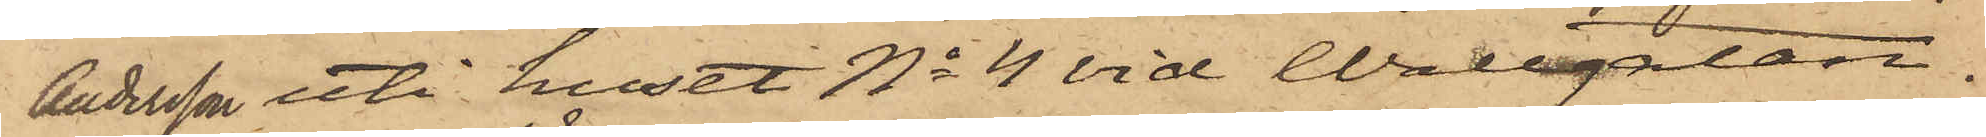Andersson uti huset No 4 vid Wallgatan.
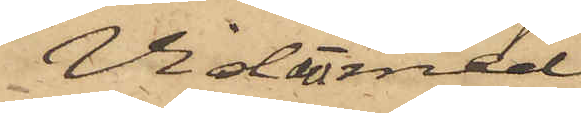Vid det med
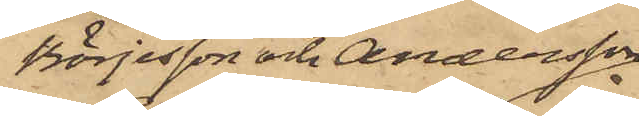Börjesson och Andersson
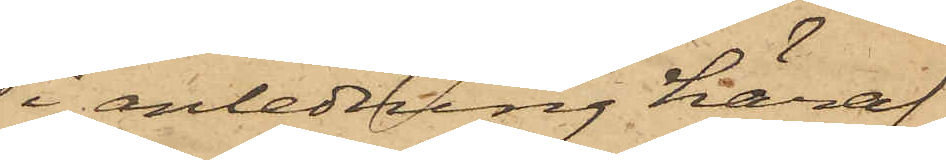i anledning häraf
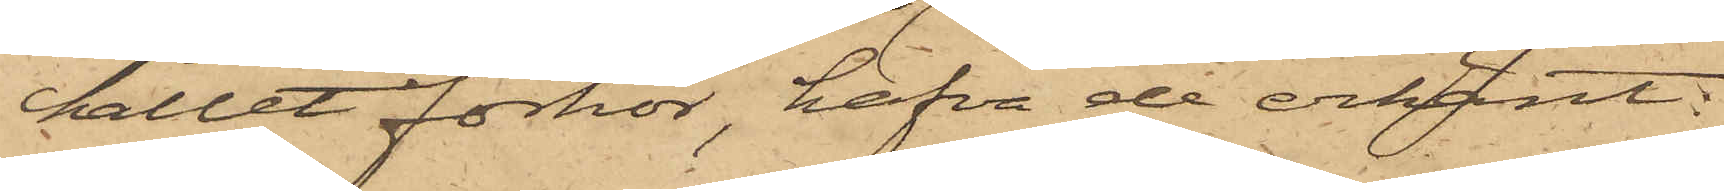hållet förhör, hafva de erkänt:
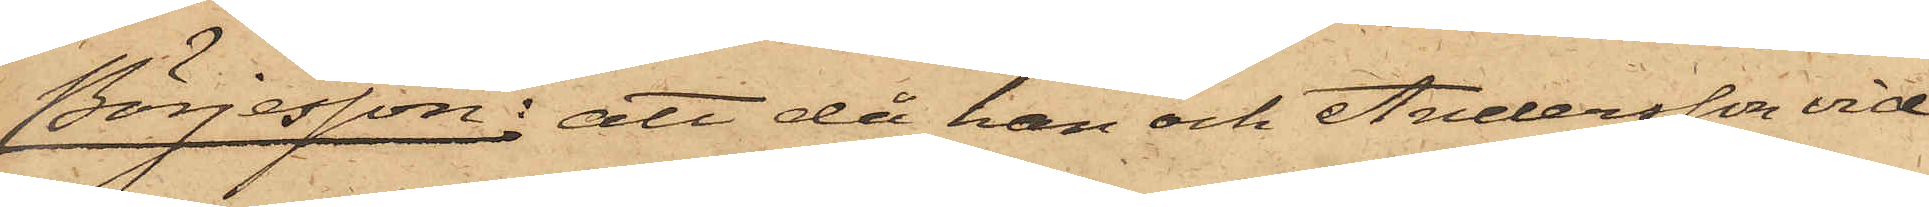Börjesson: att då han och Andersson vid
